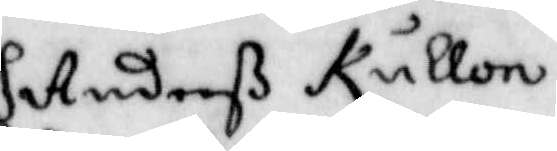Anderß Kullon
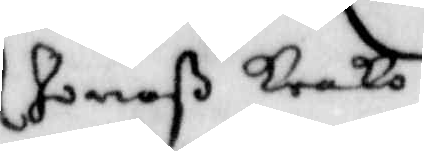Jonaß Lerka
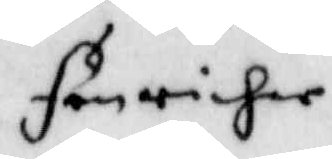Fänricher
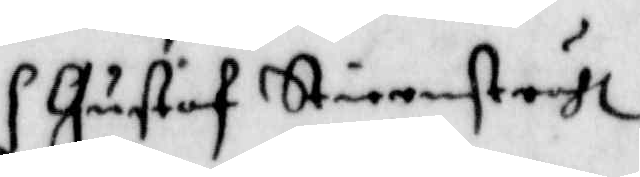Gustaf Stiernstråhl
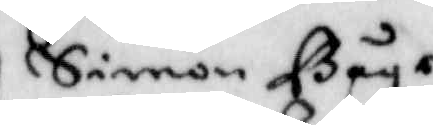Simon Båge
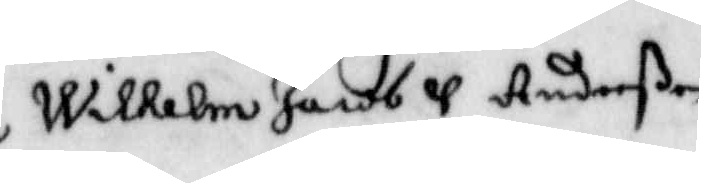Wilhelm Jacob u Anderßon
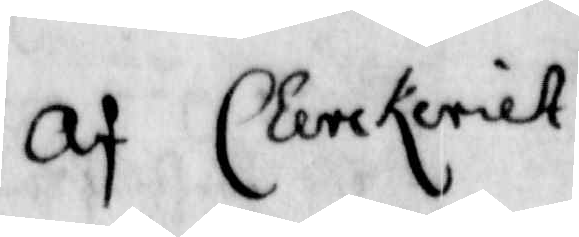Af Clerckeriet
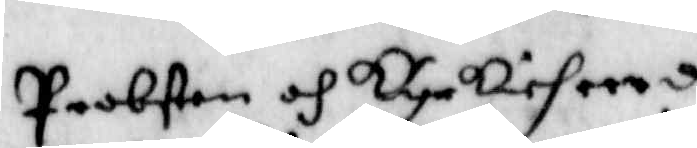Probsten och kyrkieheerden
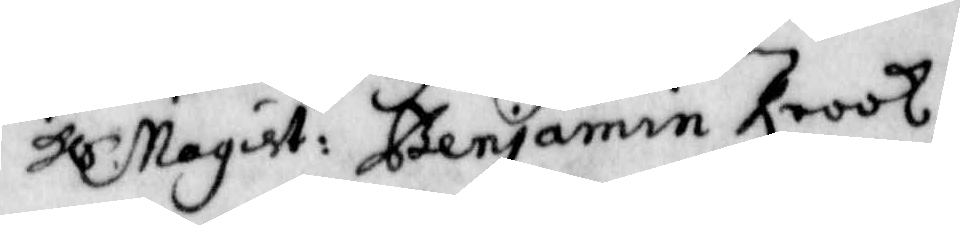Hl. Magist: Benjamin Krook.
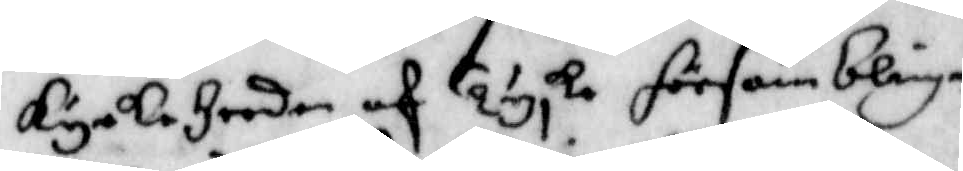kyrkeherden af Tyska församblingen
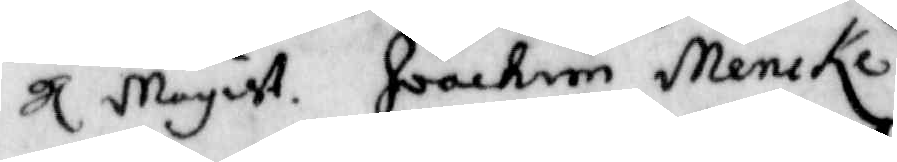Hl. Magist. Joackim Mencke
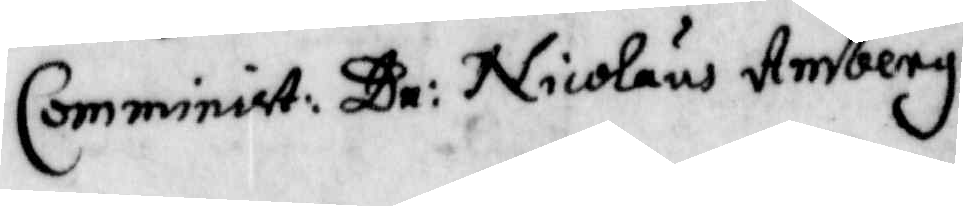Comminist: Dr: Nicolaus Amberg.
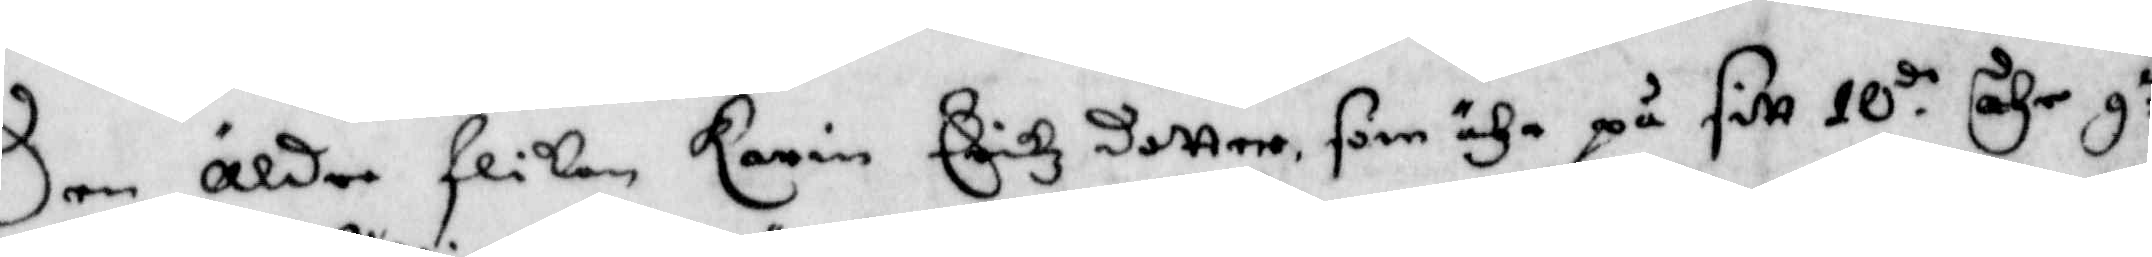Den äldre flikan Karin Erikzdotter, som ähr på sitt 10.de åhr g:ll
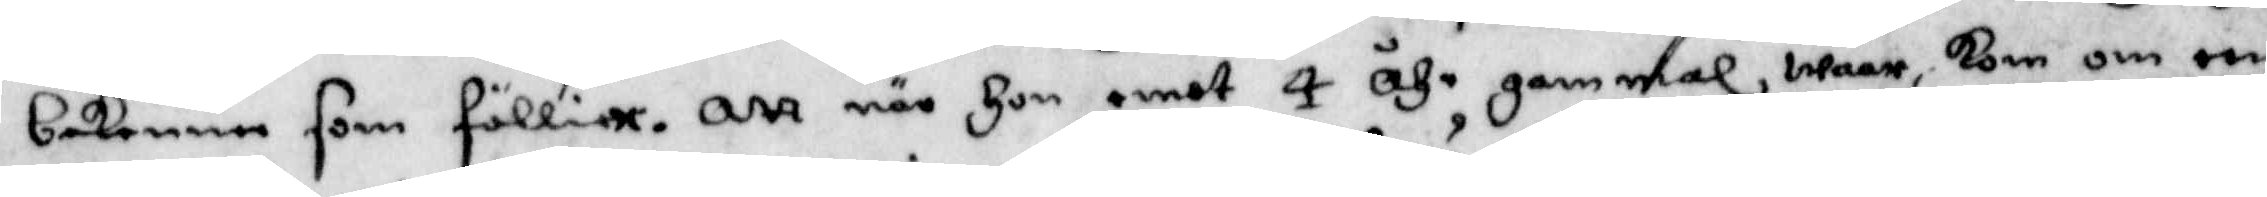bekenna som föllier. Att när hon emot 4 åhr gammal waar, kom om een
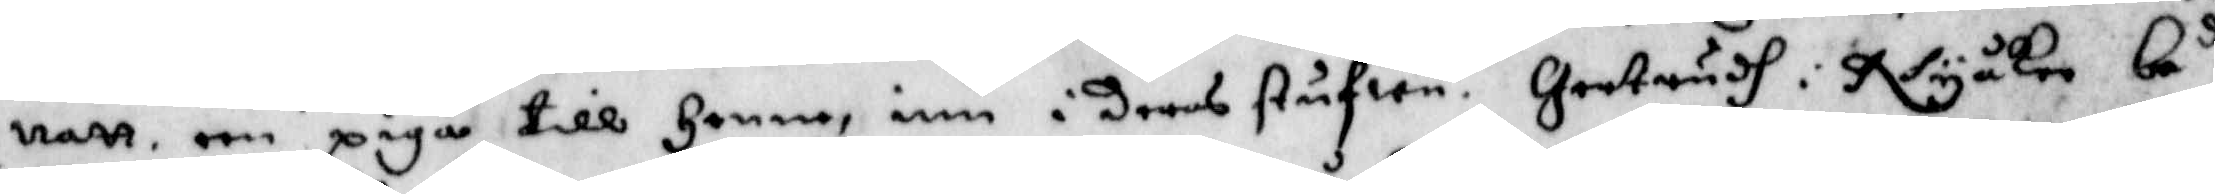natt een piga till henne, inn i deras stufwu. Gertrudh i Nyåker be.d
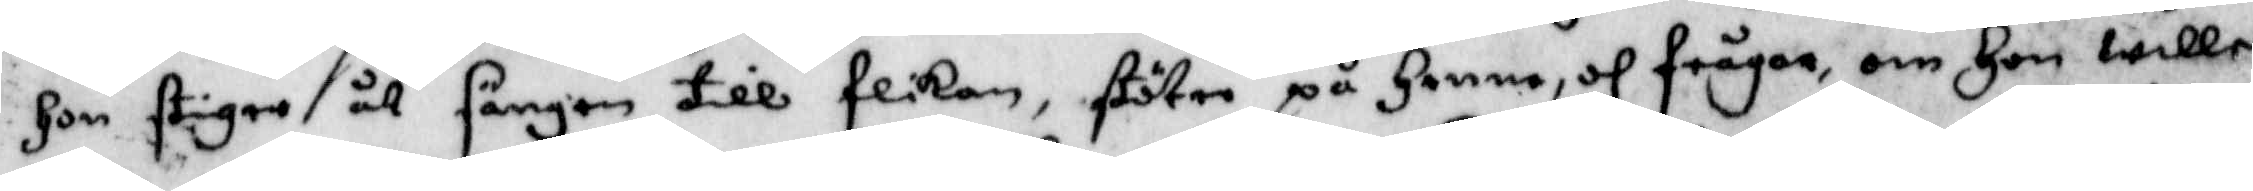hon stiger åt sängen till flikan, stöter på henne, och frågar om hon wille
